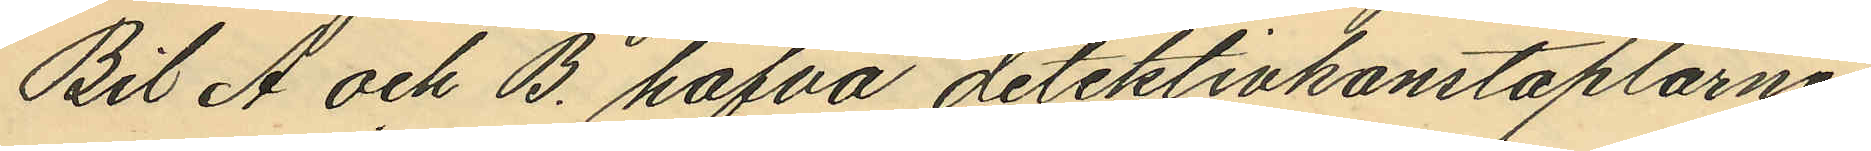Bil A och B. hafva detektivkonstaplarne
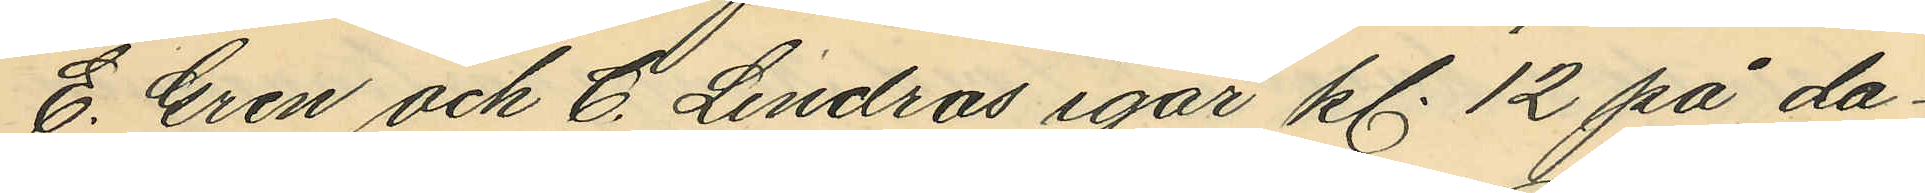E. Gren och C. Lindros igår kl. 12 på da¬
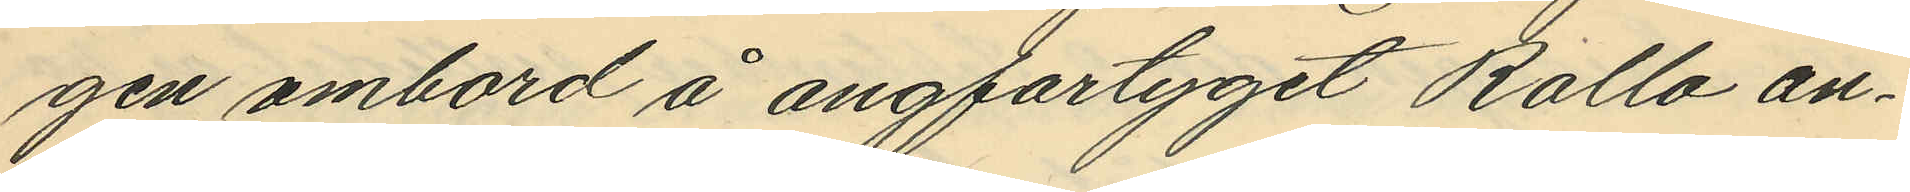gen ombord å angfartyget Rollo an¬
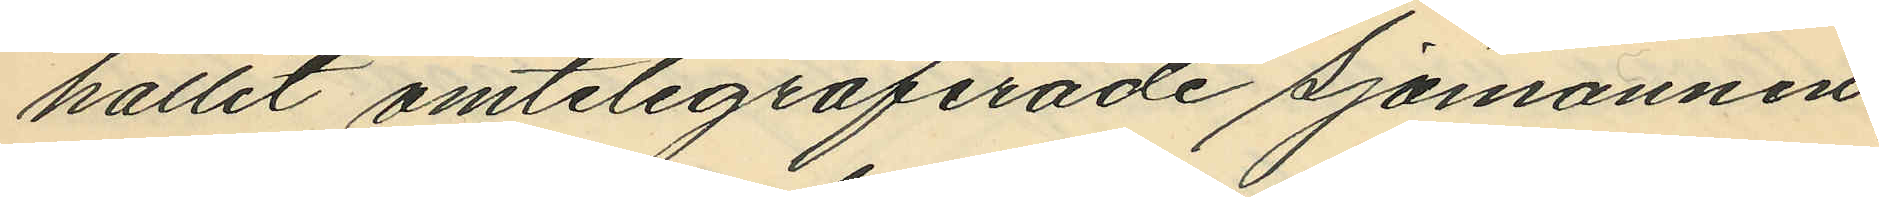hållit omtelegraferade sjömannen
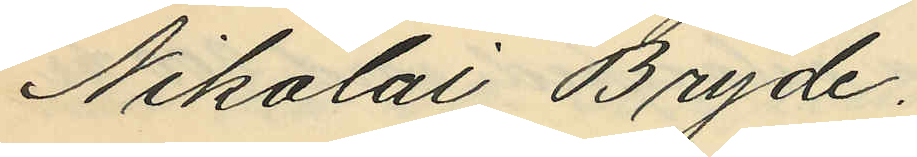Nikolai Bryde.
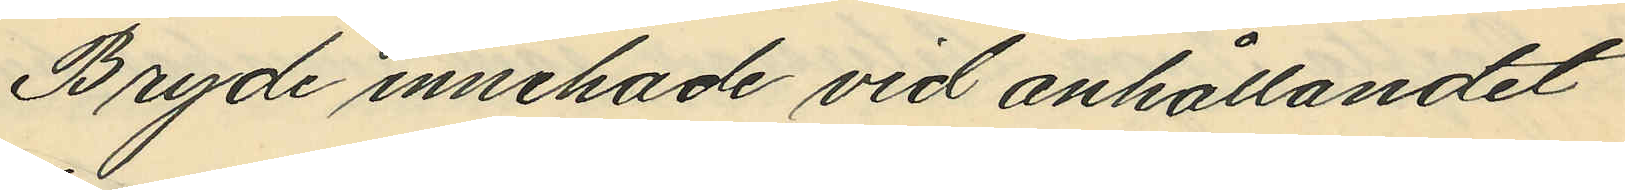Bryde innehade vid anhållandet
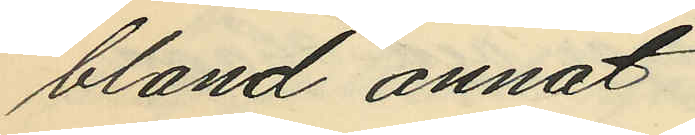bland annat
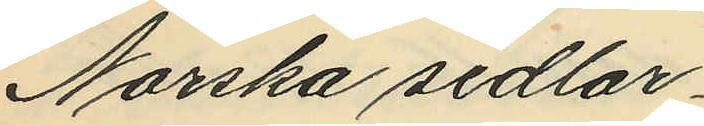Norska sedlar
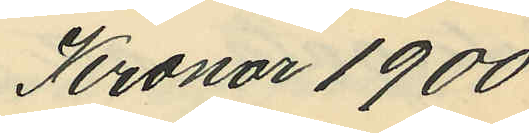Kronor 1900
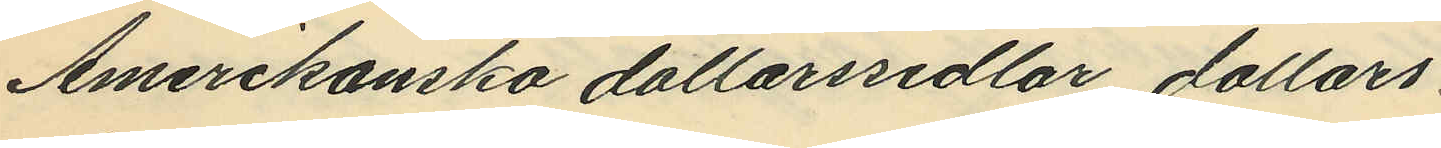Amerikanska dollarssedlar, dollars
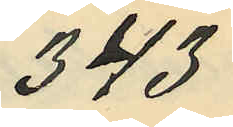343
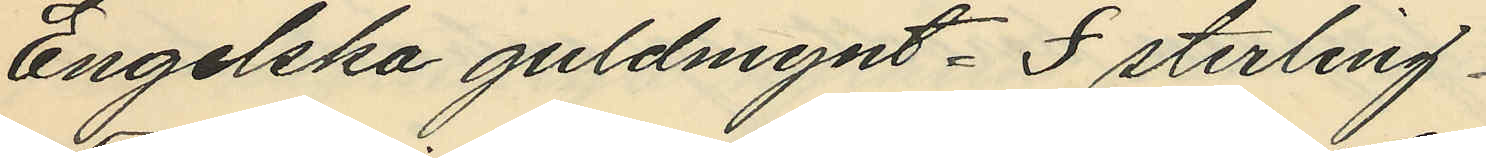Engelska guldmynt. £ sterling
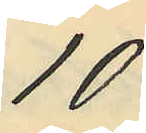10
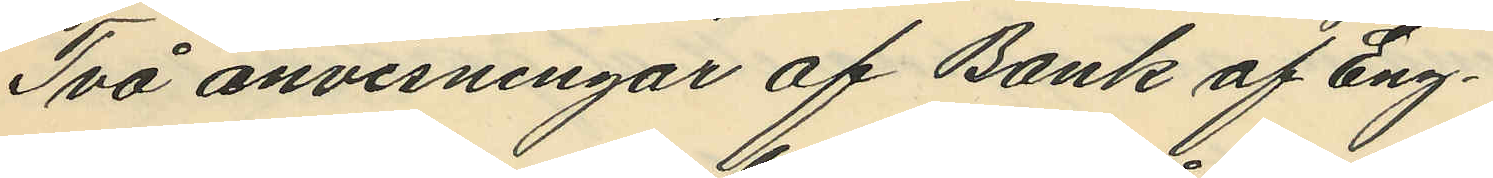Två anvisningar af Bank af Eng¬
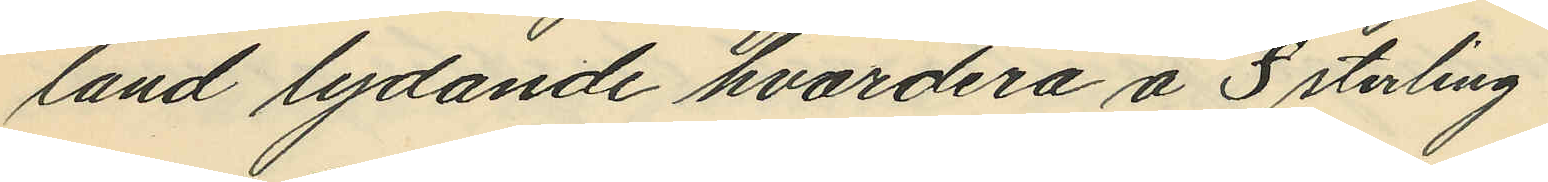land lydande hvardera å £ sterling
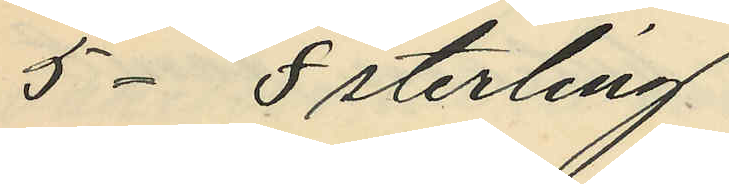5- £ sterling
